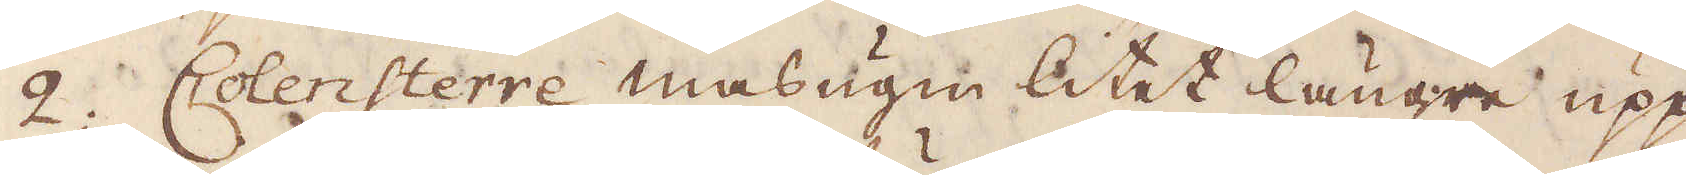2. Colensterre masugn litet längre upp
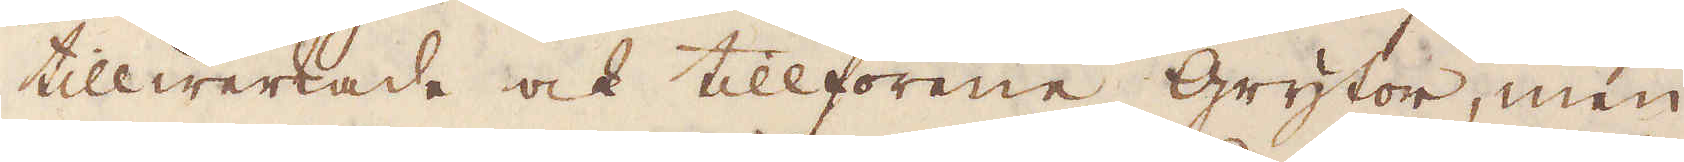tillwerkade ock tillförene grytor, men
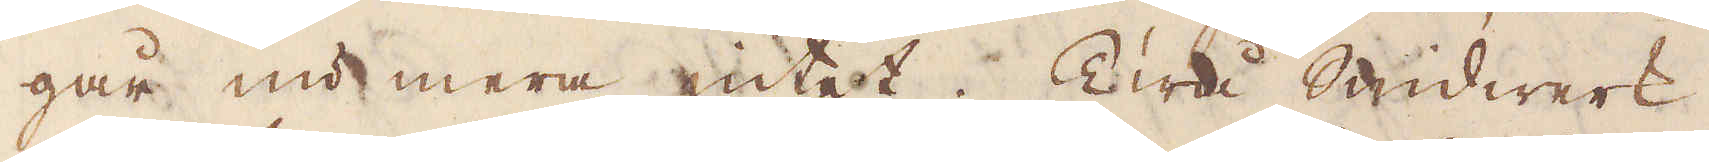går nu mera intet. Twå Smidwerk
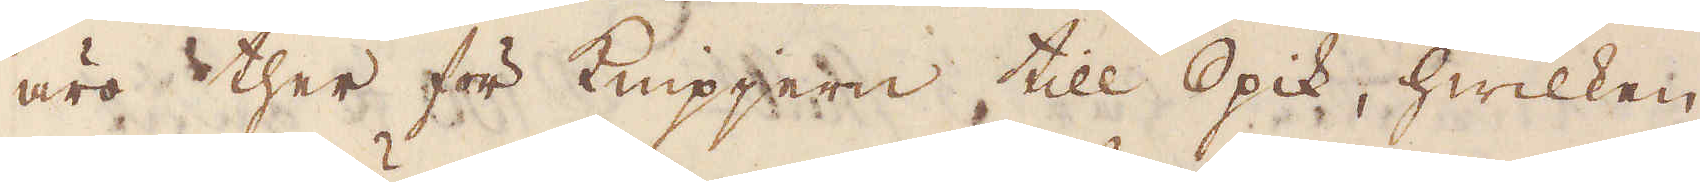äro ther för knipjern till Spik, hwilken
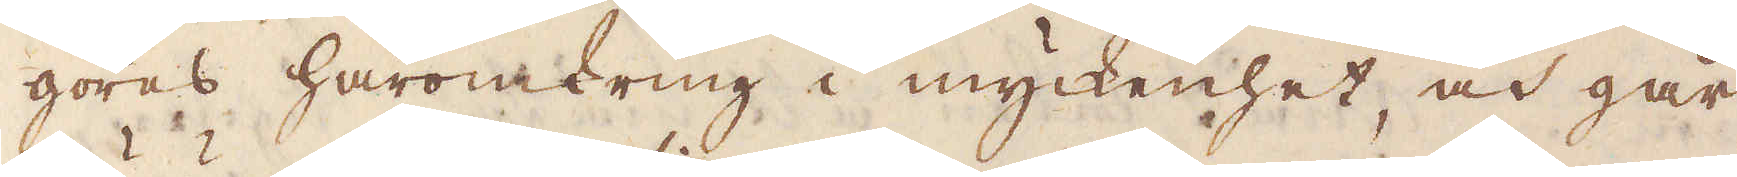göres häromkring i myckenhet, och går
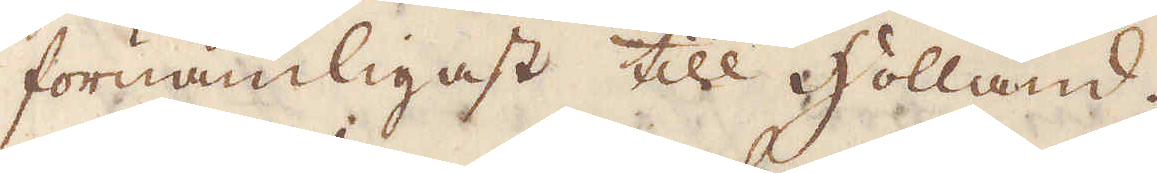förnämligast till Holland.
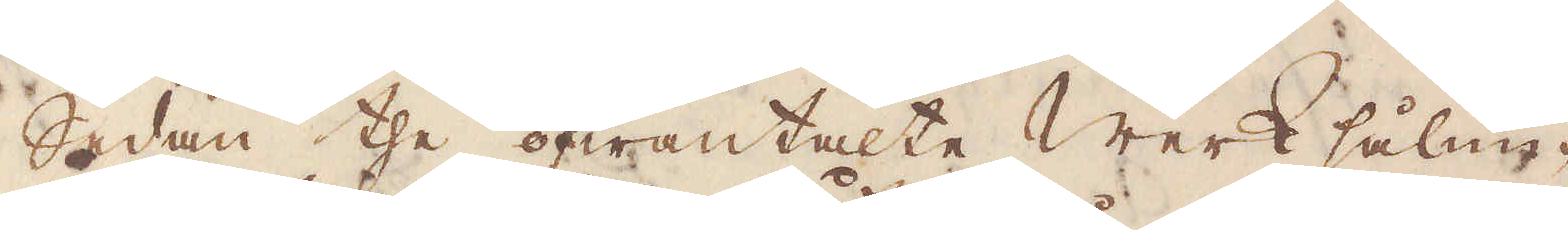Sedan the ofwantalte Werk sålun-
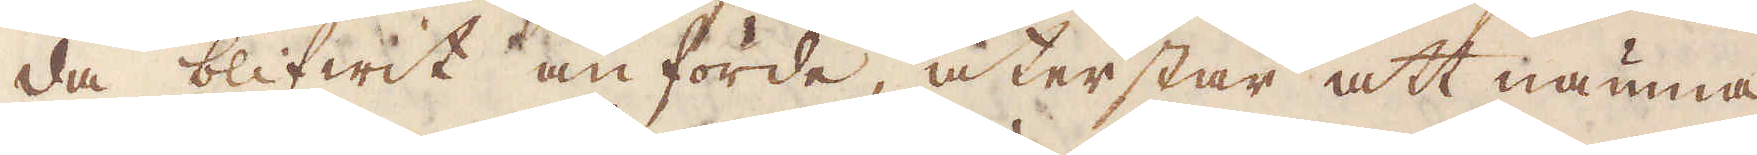da blifwit anförde återstår att nämna
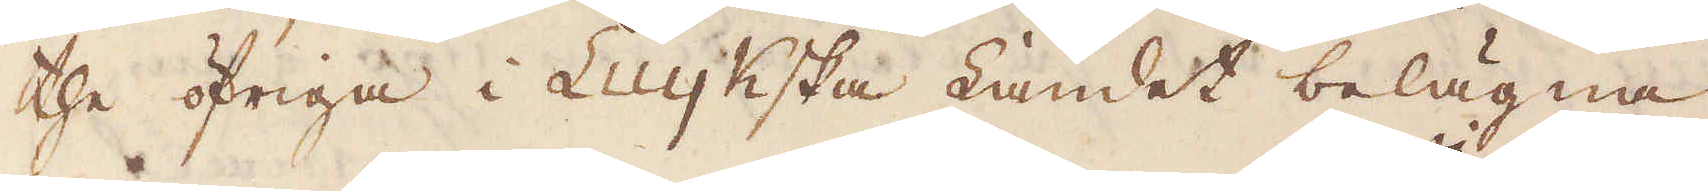the öfriga i Luykska Landet belägna
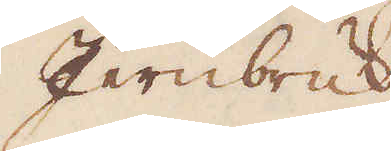Jernbruk.
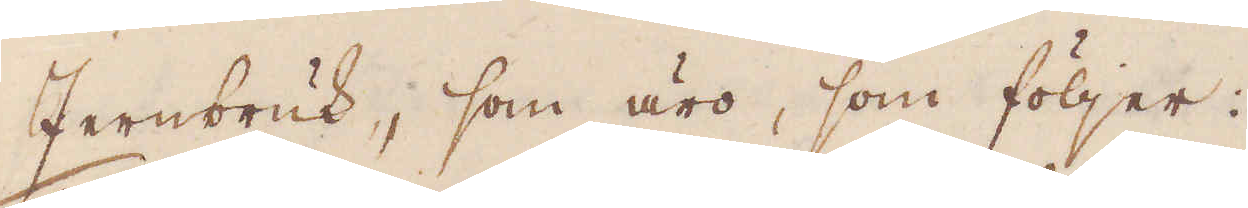Jernbruk, som äro, som följer.
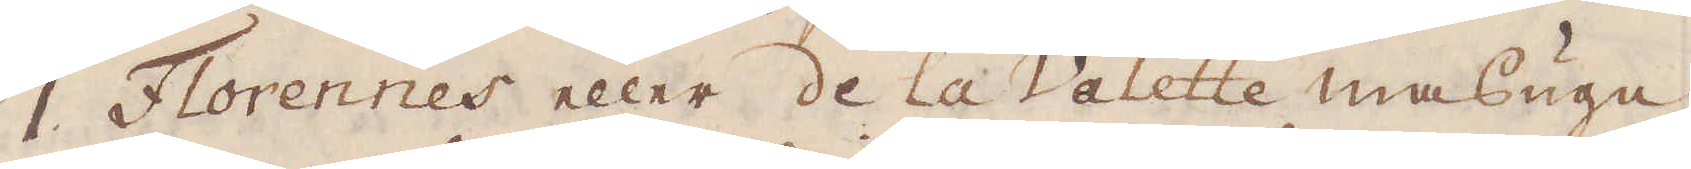1 Florennes eller de la Valette masugn
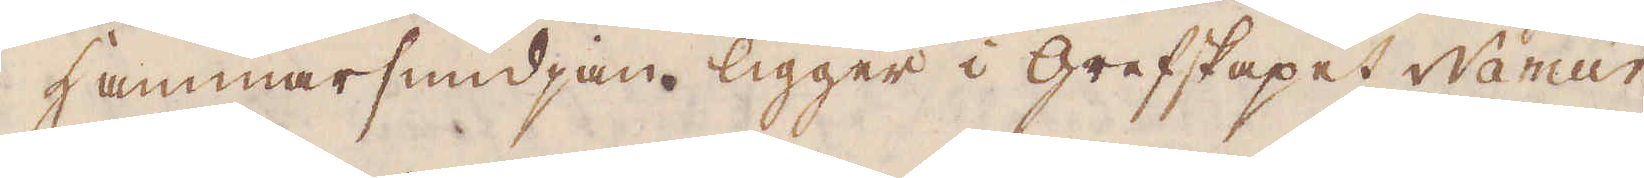Hammarsmidjan ligger i grefskapet Namur
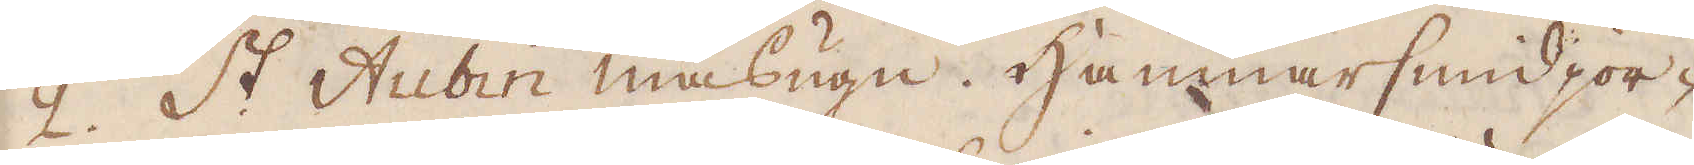2. St Aubin masugn. Hammarsmidjor-
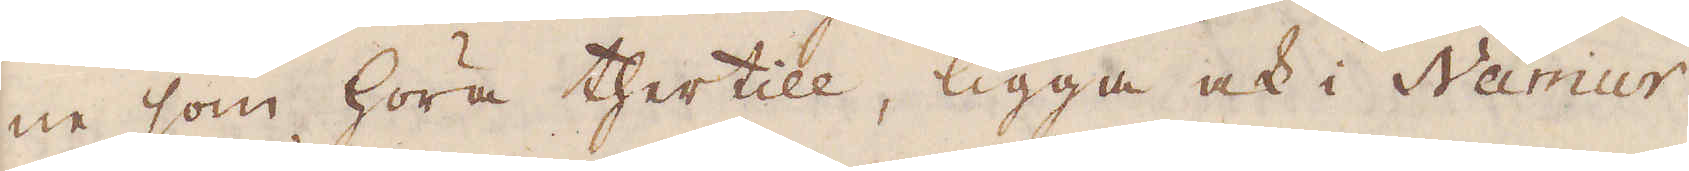ne som höra thertill, ligga ock i Namur.
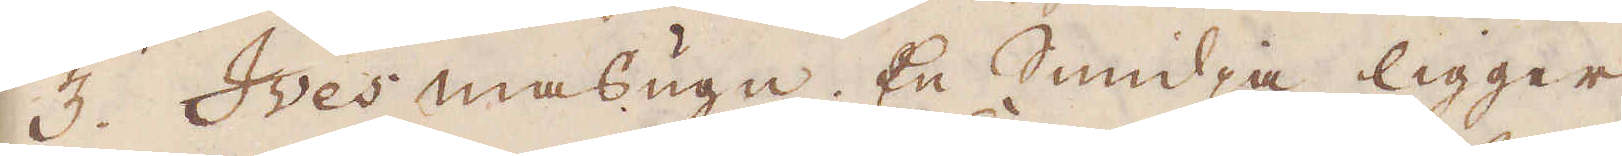3. Ives masugn. En Smidja ligger
